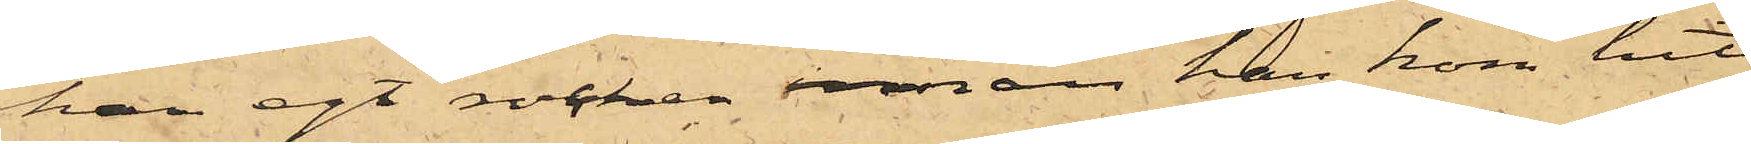han egt rocken innan han kom hit
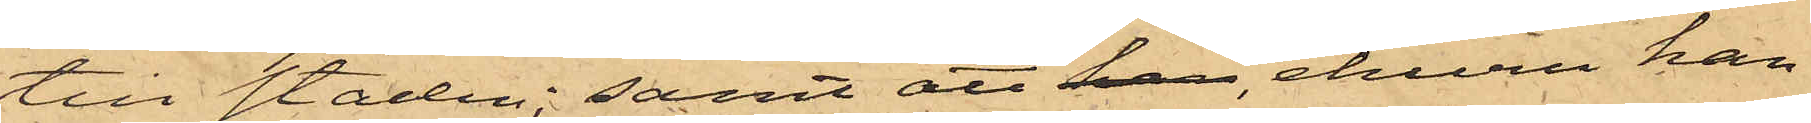till staden; samt att han, ehuru han
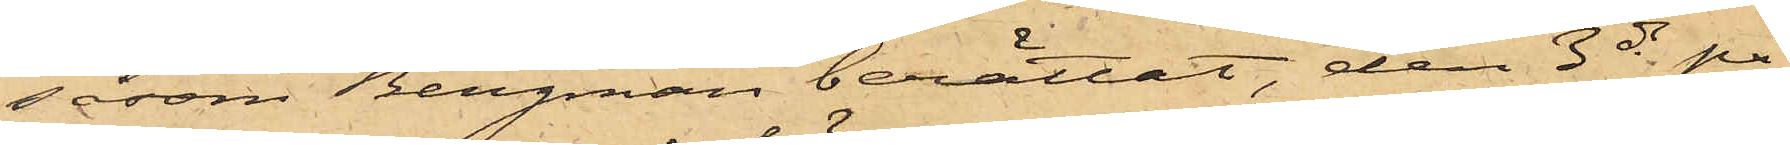såsom Bergman berättat, den 3 ds på
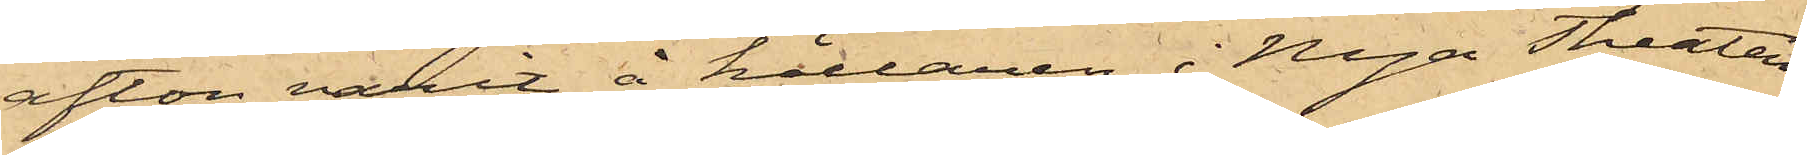afton varit å källaren i Nya Theatern
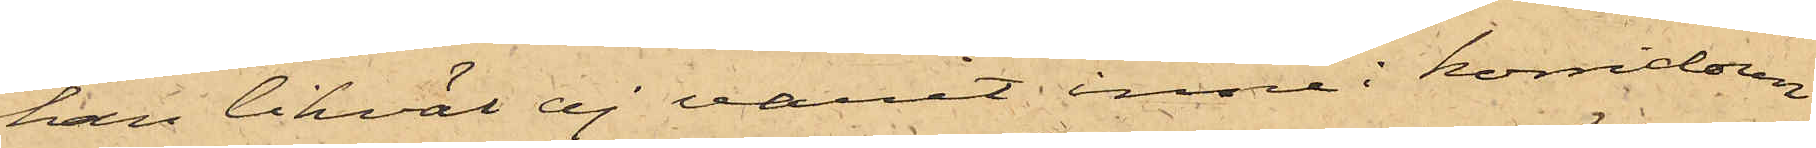han likväl ej varit inne i korridoren
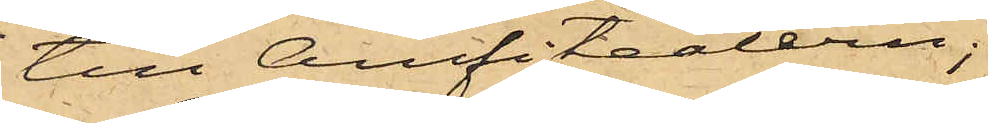till Amfiteatern;
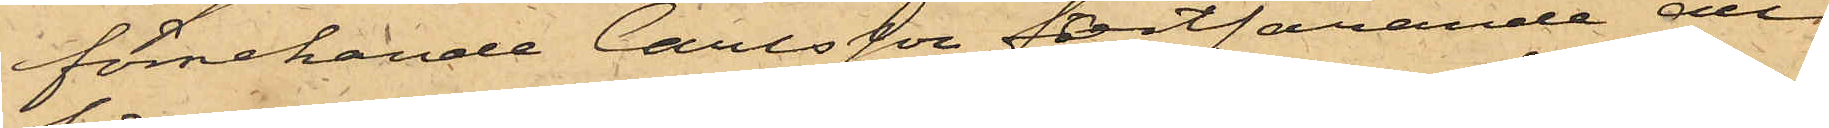förnekande Carlsson fortfarande dels
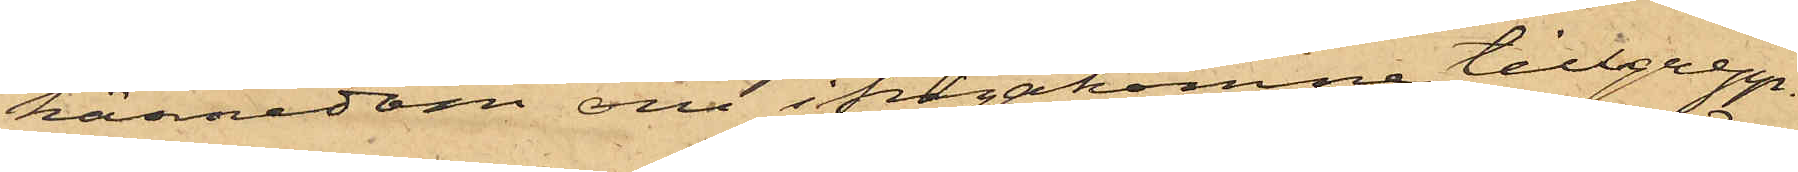kännedom om ifrågakomne tillgrepp.
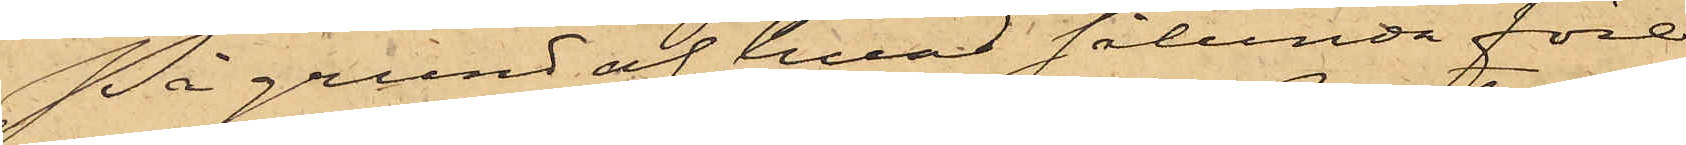På grund af hvad sålunda före¬
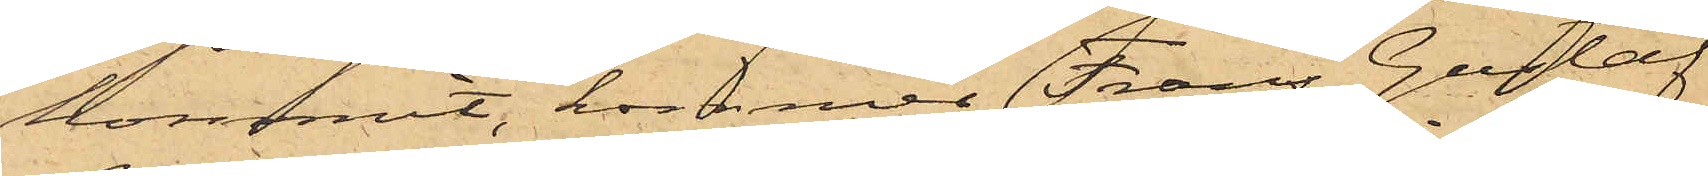kommit, kommer Frans Gustaf
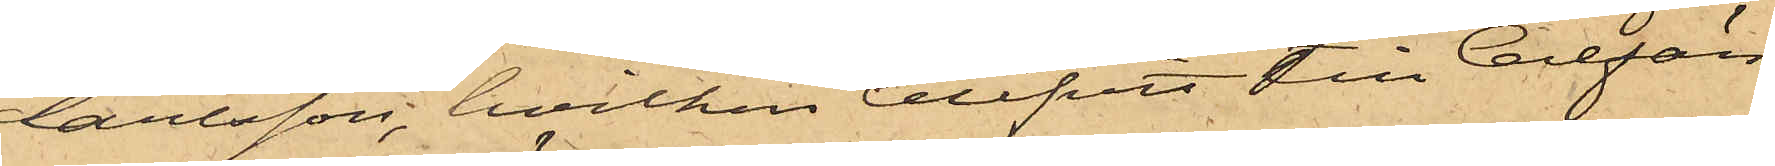Carlsson, hvilken blifvit till Cellfän¬
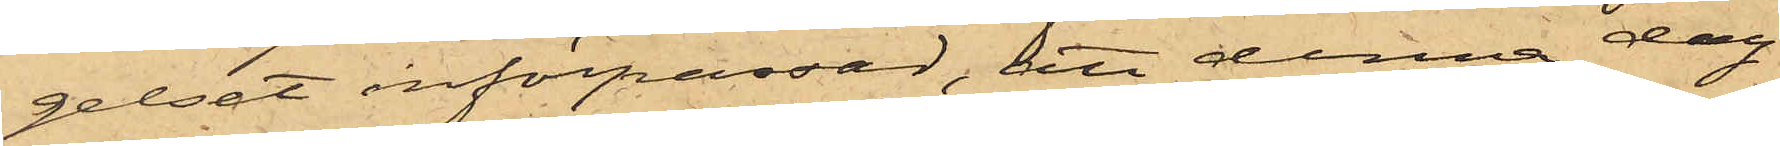gelset införpassad; att denna dag
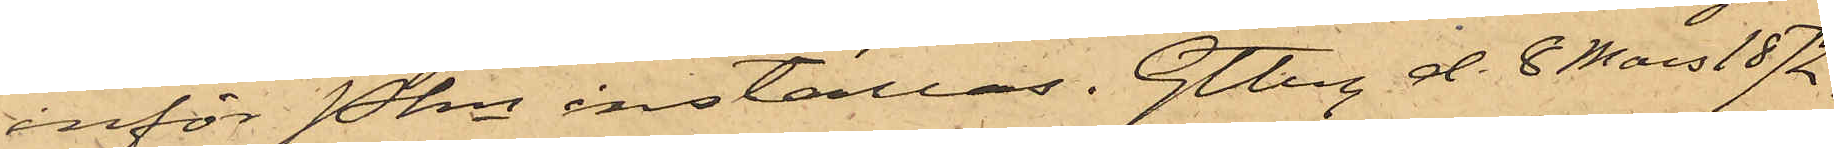inför Pkn inställas. Gtbrg d. 8 Mars 1872.
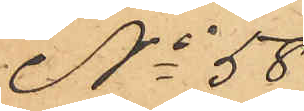No 58
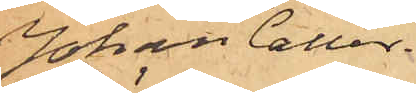Johan Caller¬
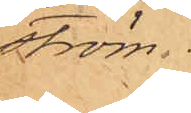ström.
